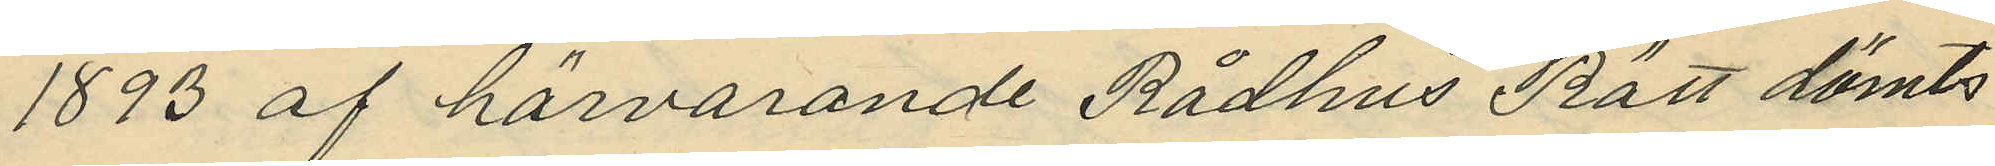1893 af härvarande Rådhus Rätt dömts
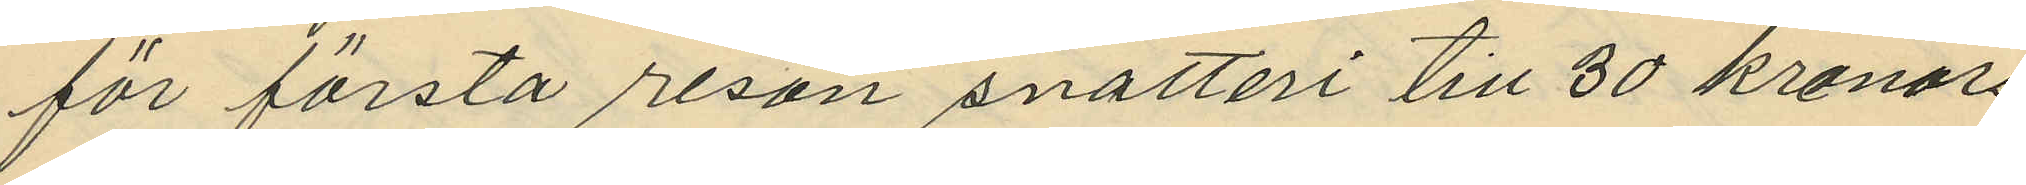för första resan snatteri till 30 kronors
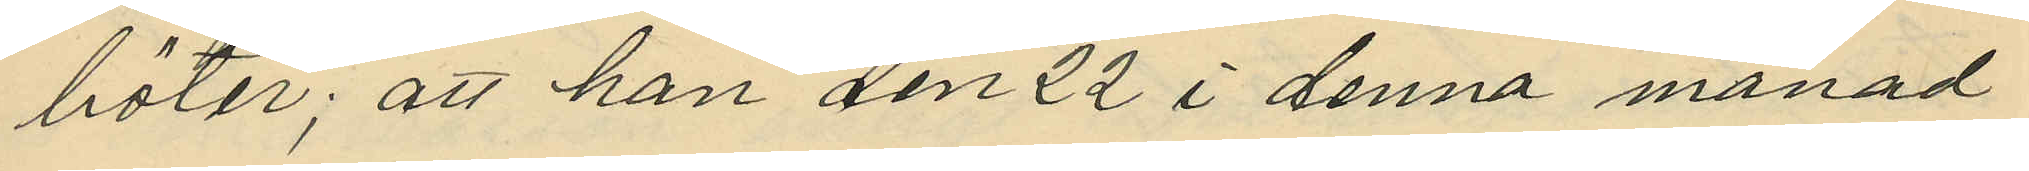böter; att han den 22 i denna månad
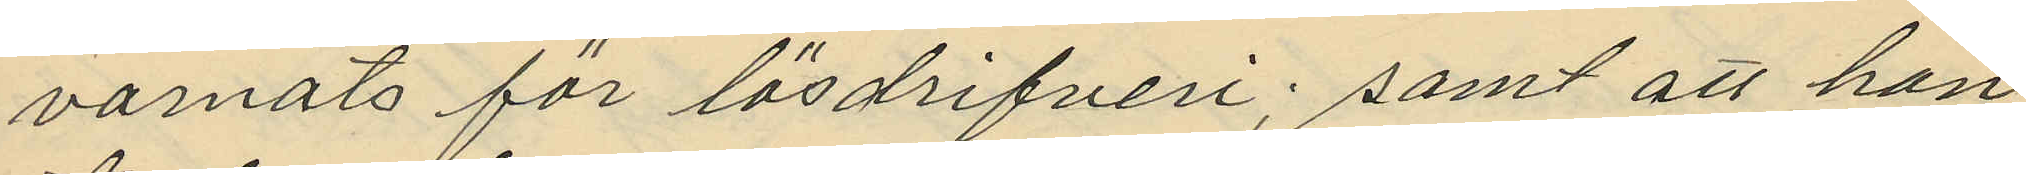varnats för lösdrifveri; samt att han
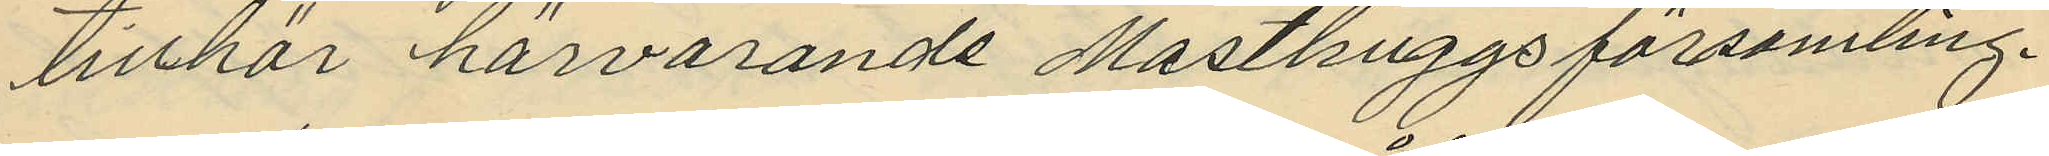tillhör härvarande Masthuggs församling.
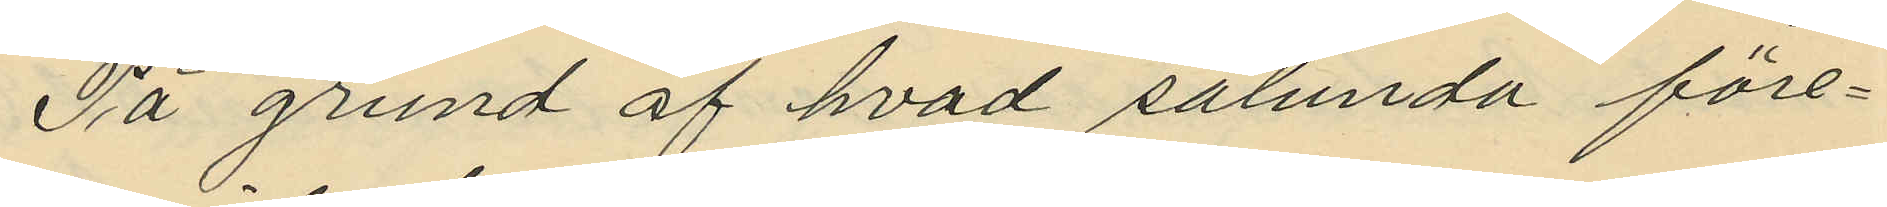På grund af hvad sålunda före¬
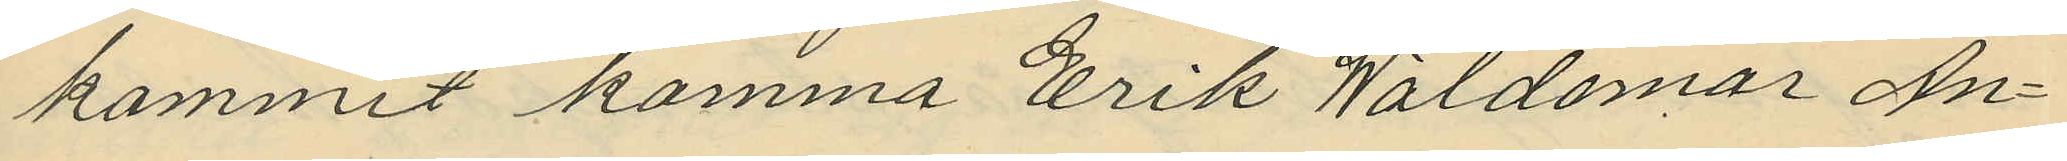kommit komma Erik Waldemar An¬
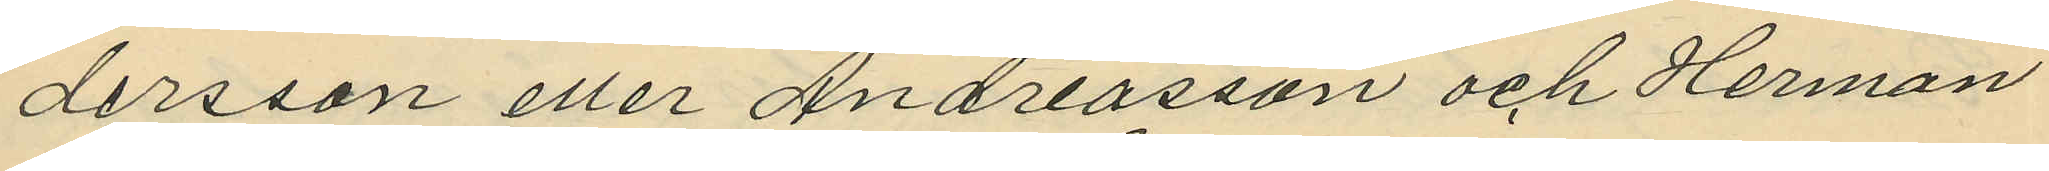dersson eller Andreasson och Herman
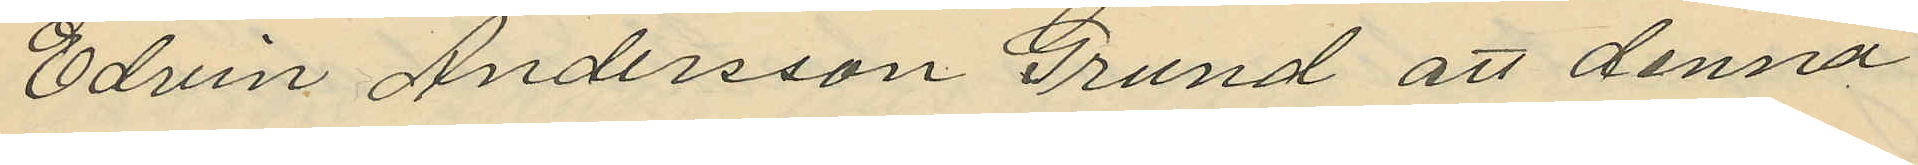Edvin Andersson Grund att denna
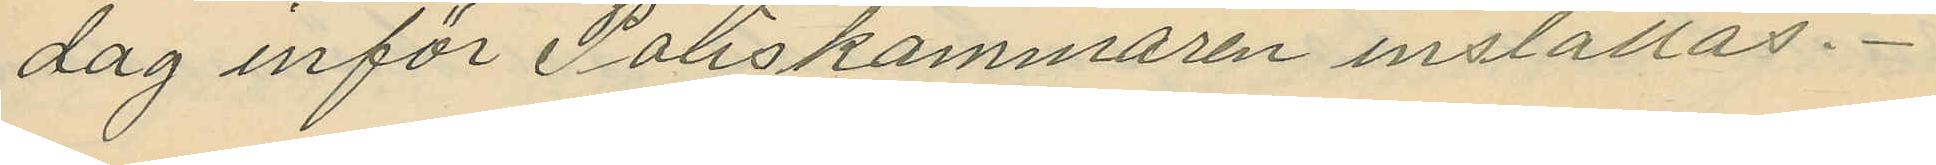dag inför Poliskammaren inställas.
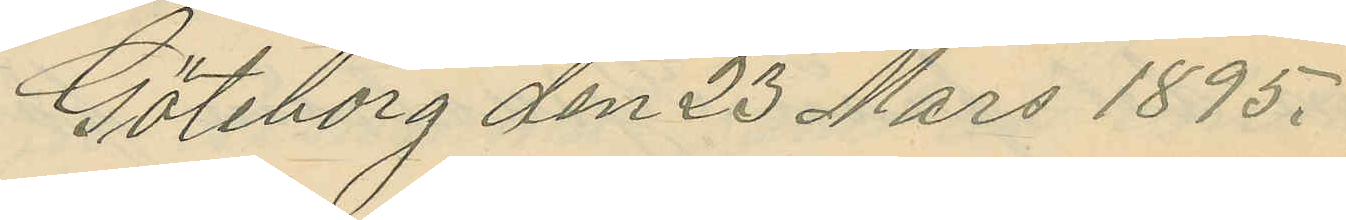Göteborg den 23 Mars 1895.
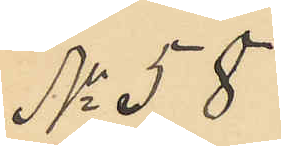No 58
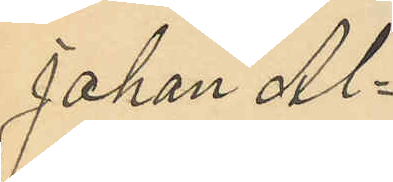Johan Al¬
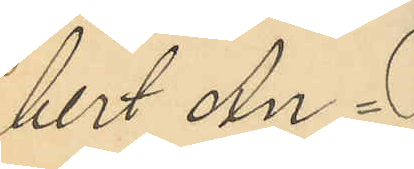bert An¬
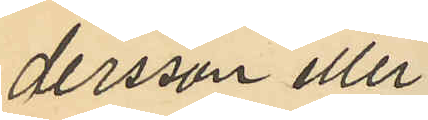dersson eller
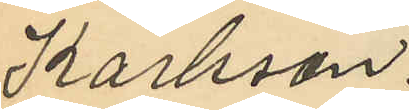Karlsson.
